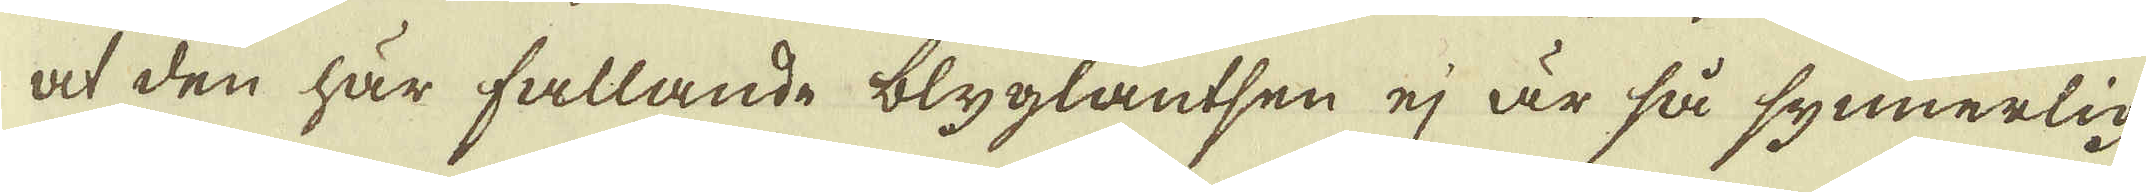at den här fallande blyglantsen ej är så synnerlig
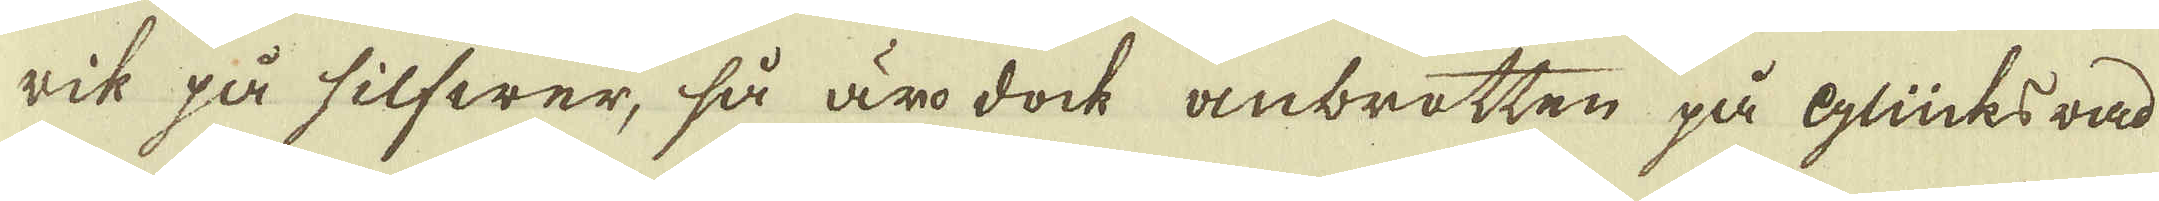rik på silfwer, så äro dock anbrotten på Glücksrad
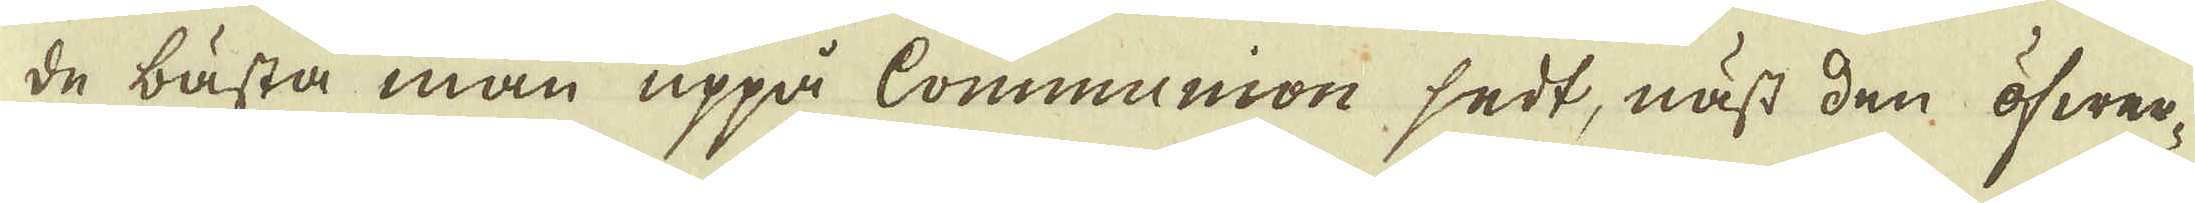de bästa man uppå Communion sedt, näst den öfwer-
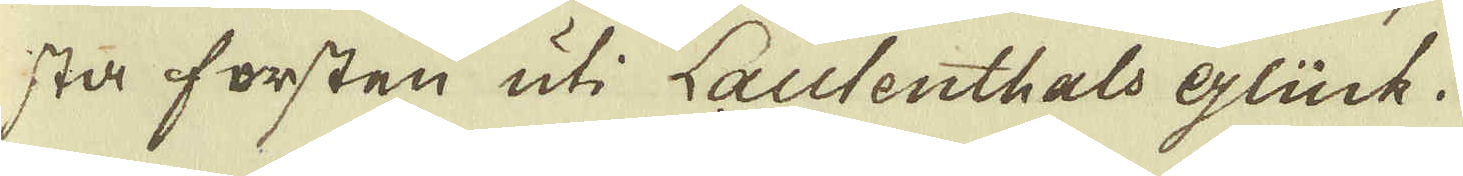sta forsten uti Lautenthals Glück.
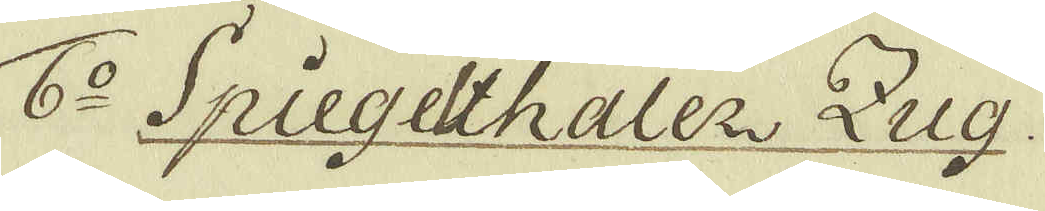6:o Spiegethaler Zug.
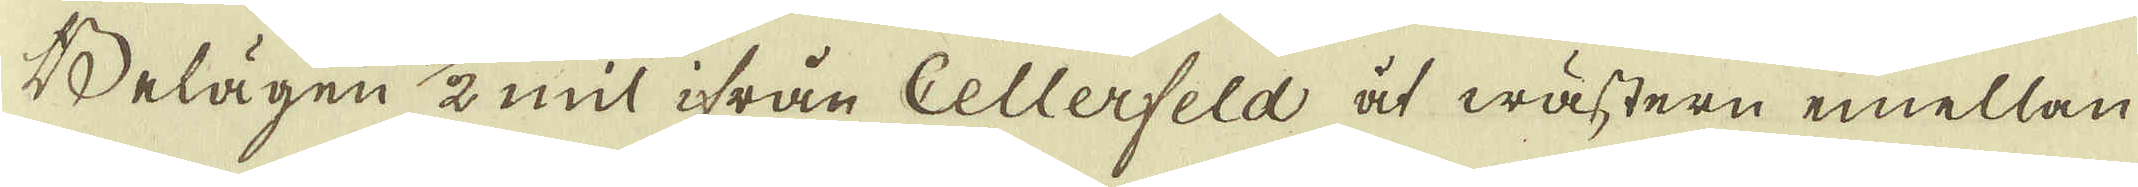Belägen 1/2 mil ifrån Cellerfeld at wästern emellan
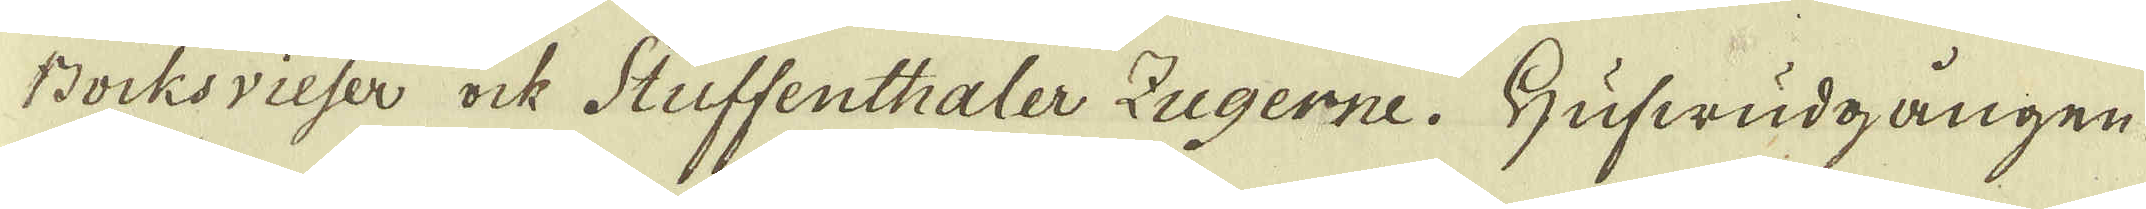Bocksvieser ock Stuffenthaler Zugerne. Hufwudgången
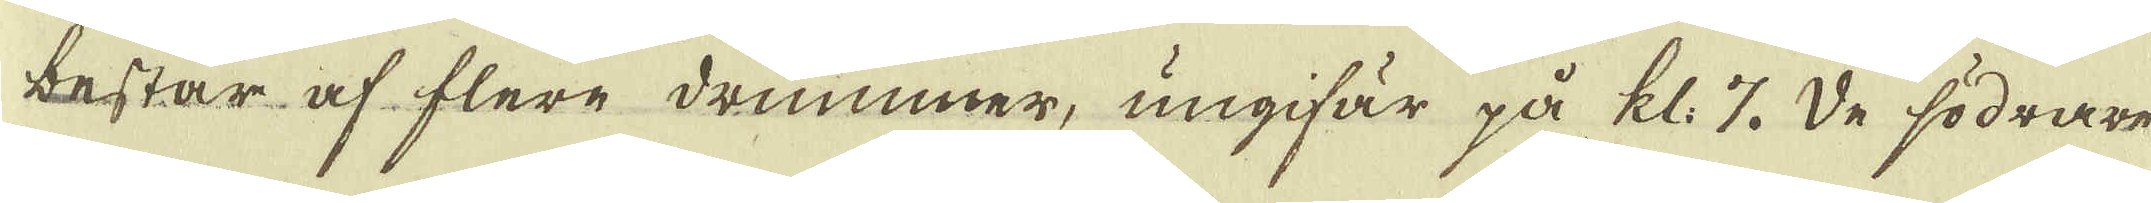består af flere drummer, ungifär på kl: 7. De södrare
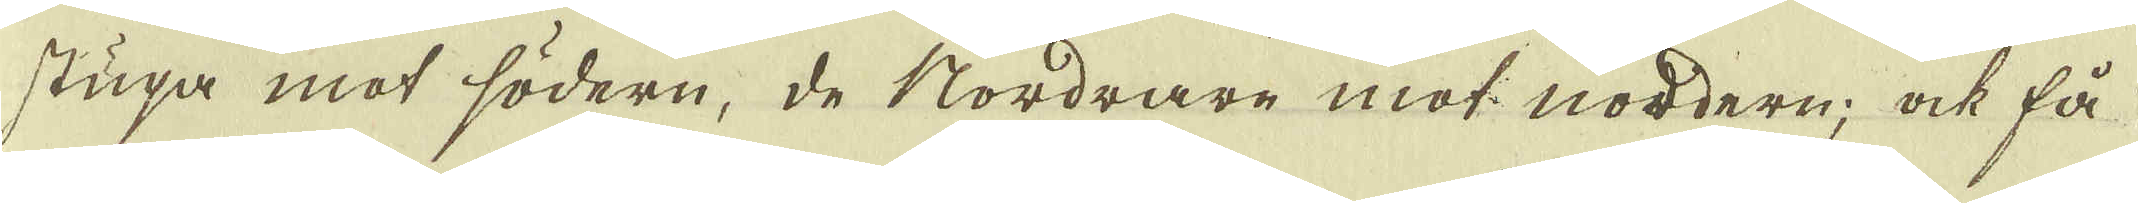stupa mot södern, de Nordrare mot nordern; ock få
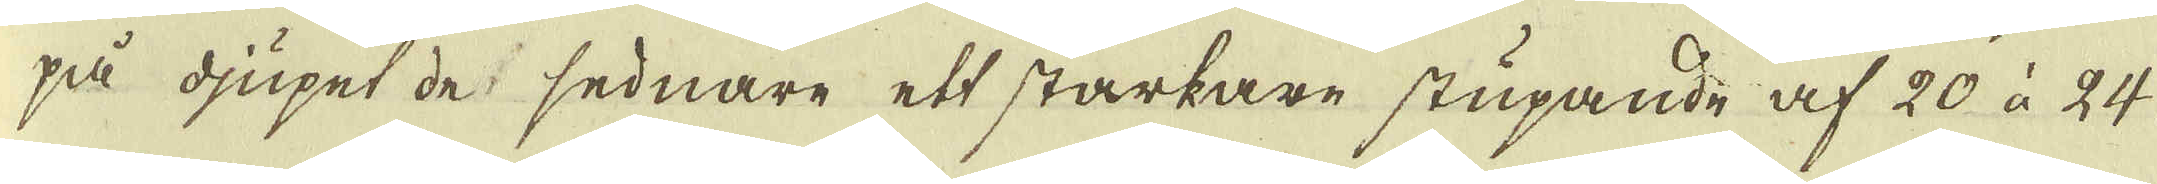på djupet de sednare ett starkare stupande af 20 à 24.
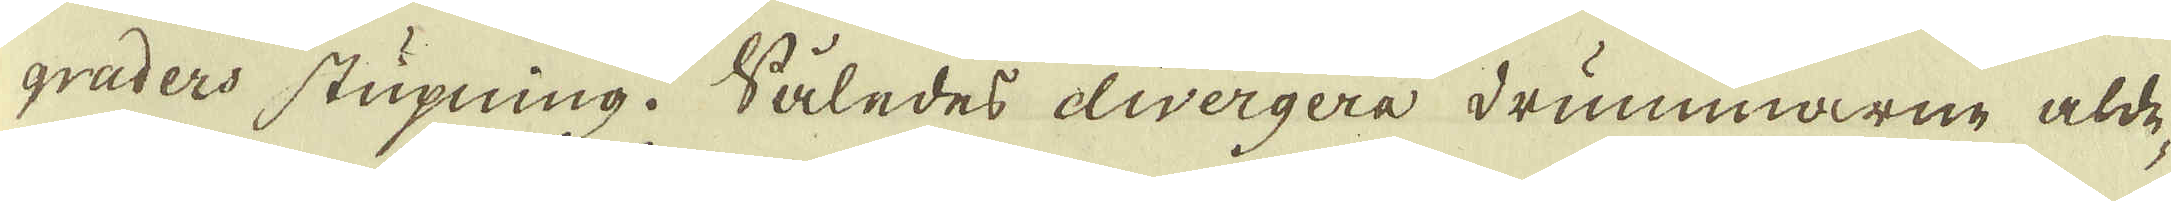graders stupning. Således divergera drummarne alde-
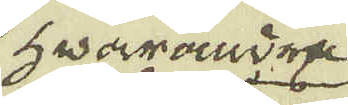hwarandra
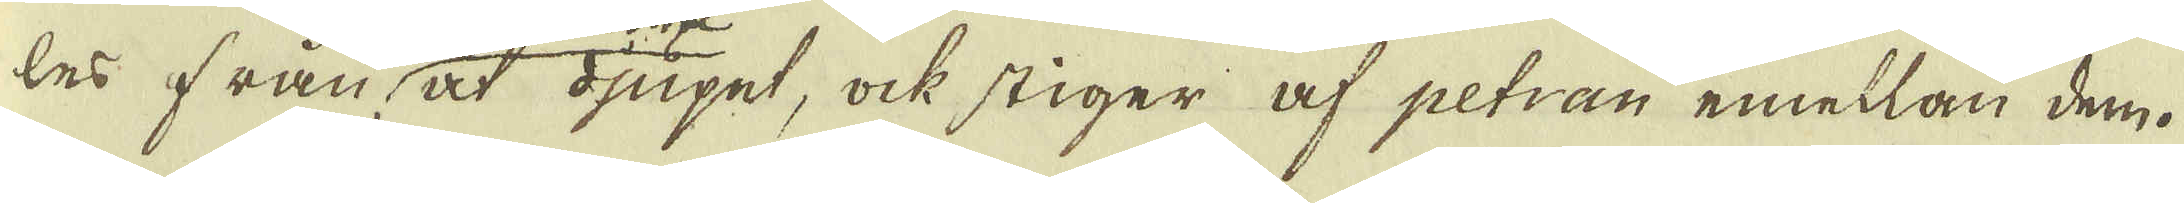les från åt djupet, ock stiger af petran emellan dem.
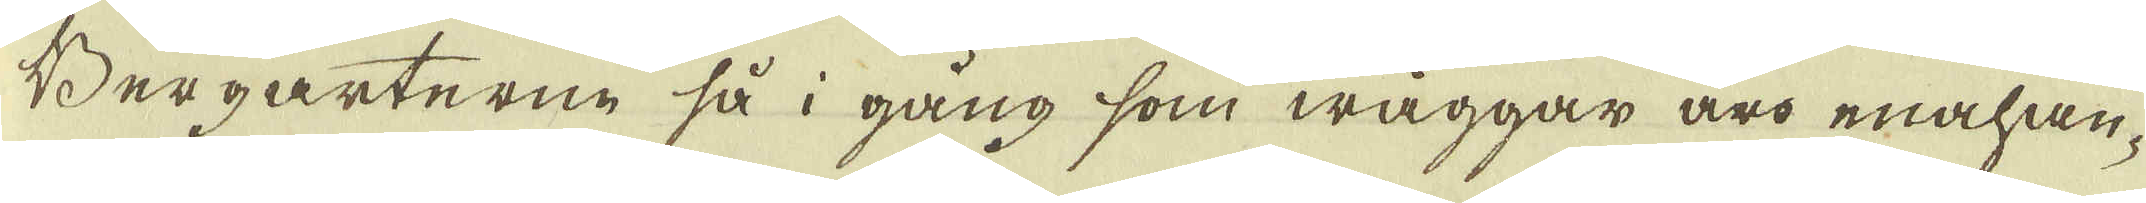Bergarterne så i gång som wäggar äro enahan-
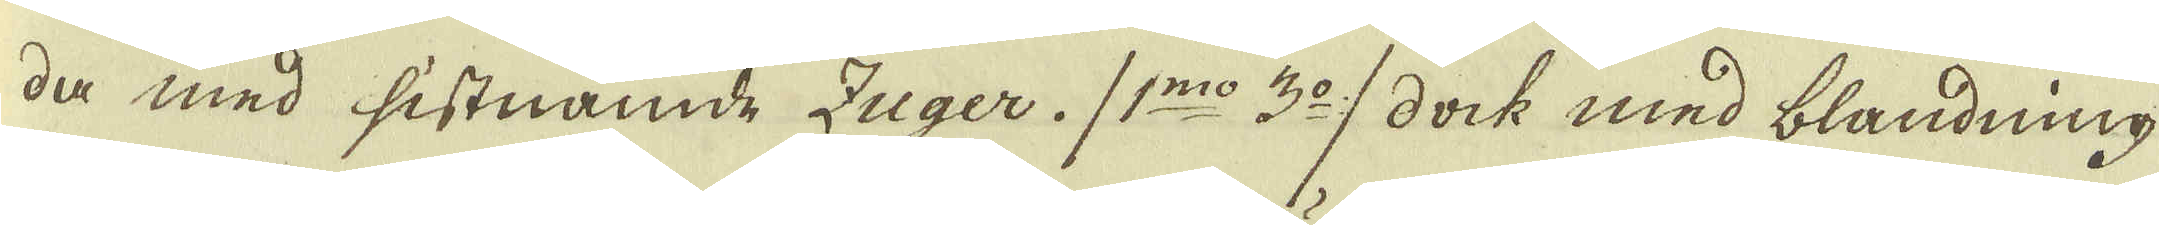da med sistnämde Zuger. (1:mo 3:o) dock med blandning
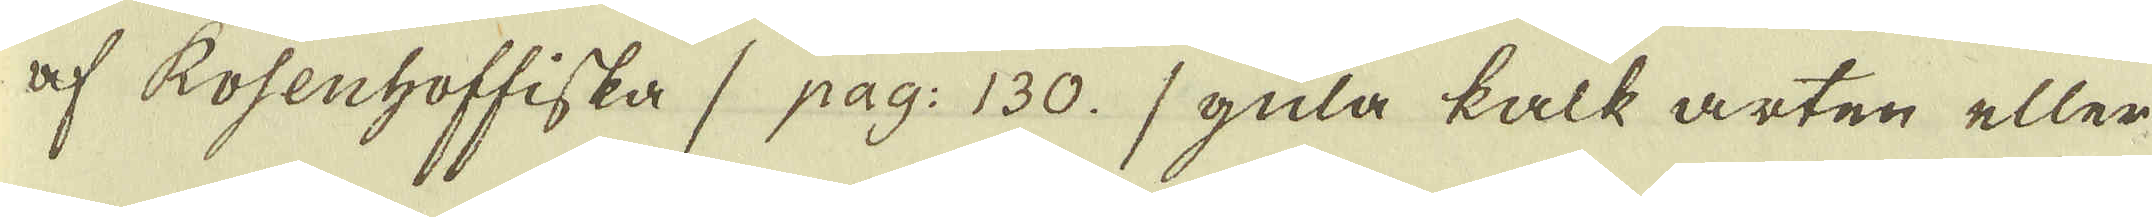af Rosenhoffiska (1 pag: 130.) gula kalk arten eller
